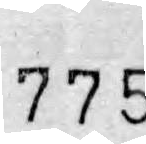775
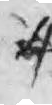4
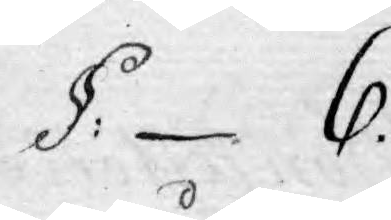§: 6.
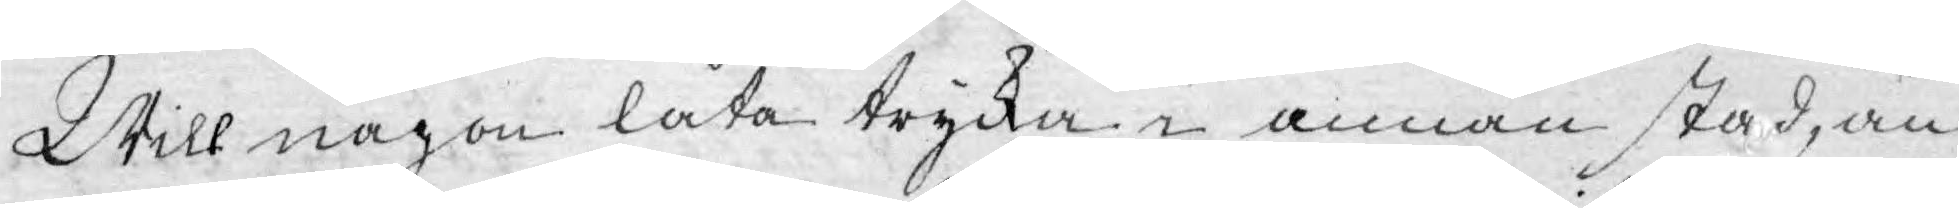Will någon låta trycka i annan stad, än
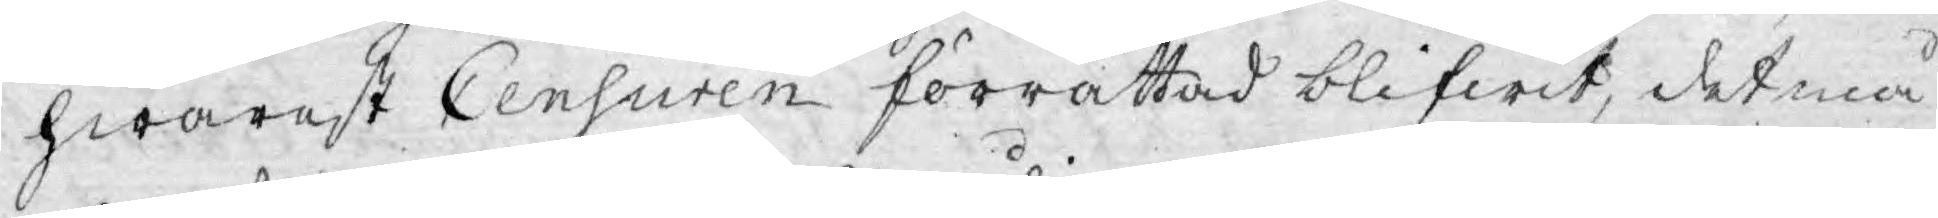hwarest Censuren förrättad blifwit, det må
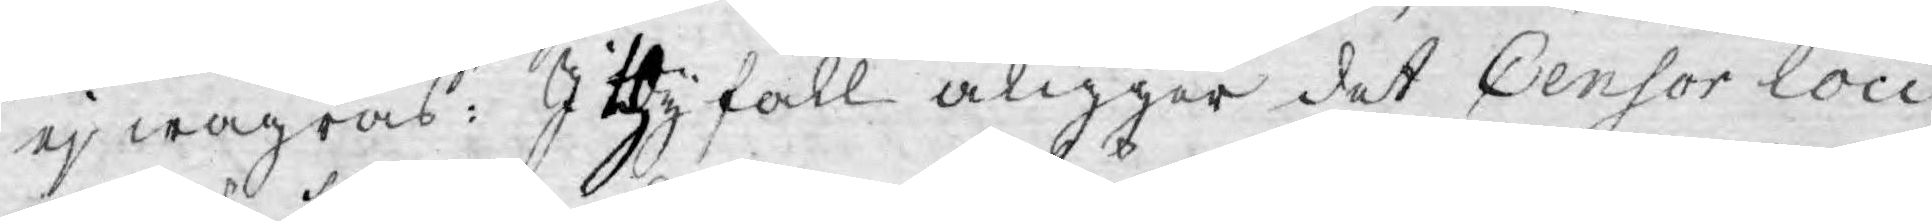ej wägras; I thy fall åligger det Censor loci
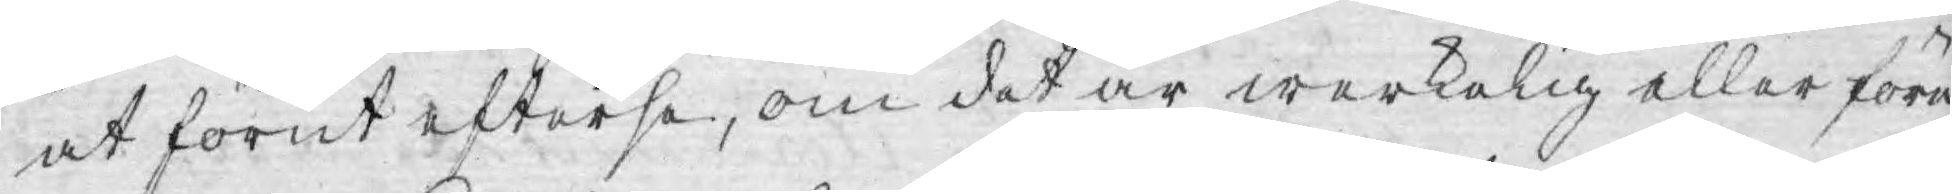at förut efterse, om det är werkelig eller före
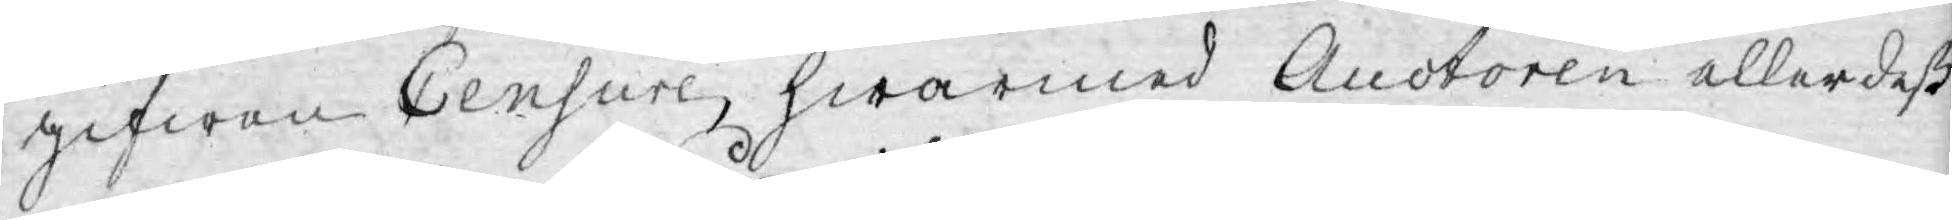gifwen Censure, hwarmed Auctoren aller deß
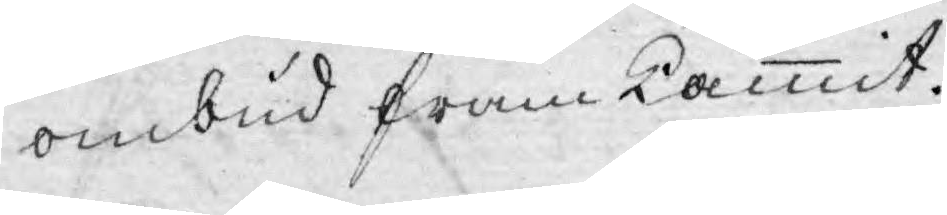ombud framkammit.
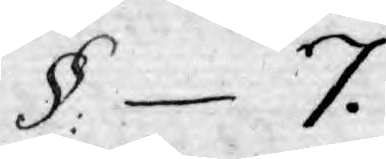§.  7.
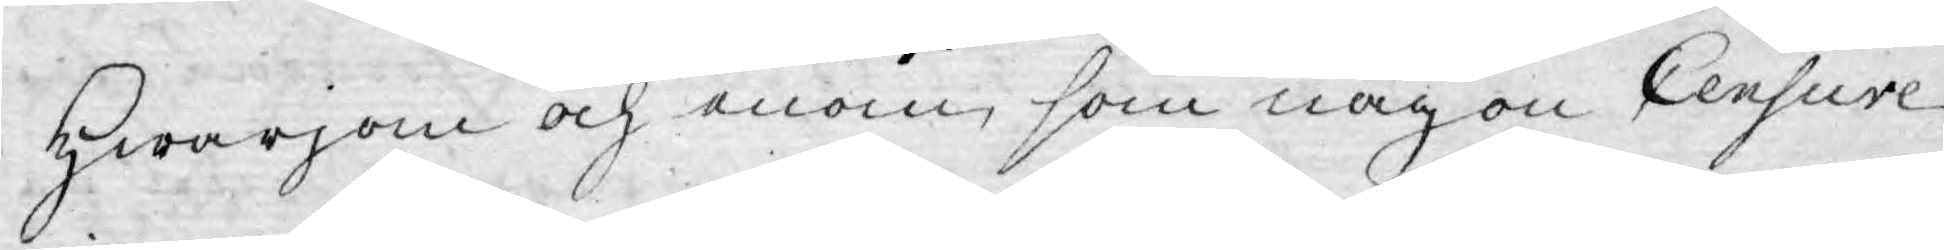Hwarjom och enom, som någon Censure
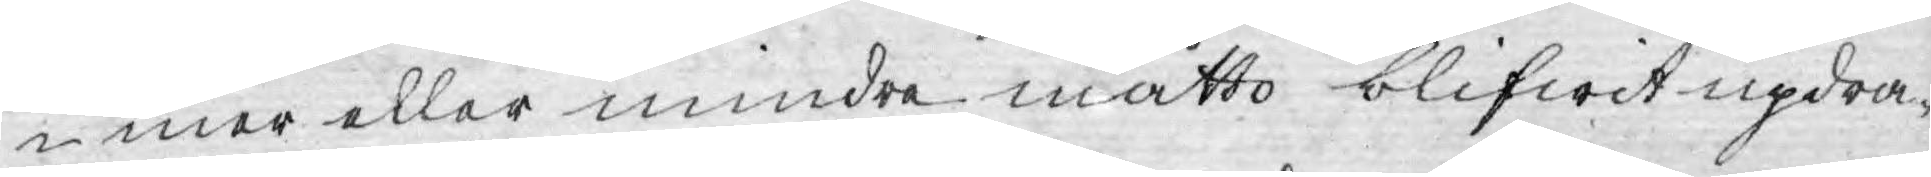i mer eller mindre måtto blifwit updra¬
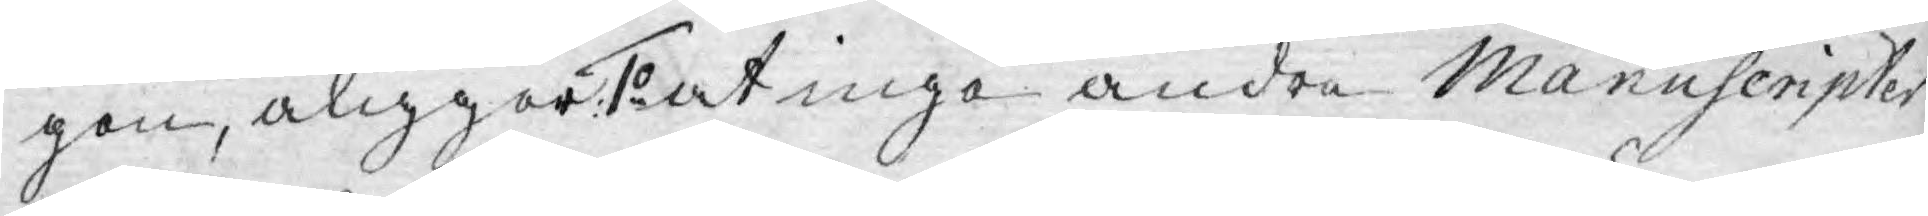gen, åligger: 1o at inga andre Manuscripter
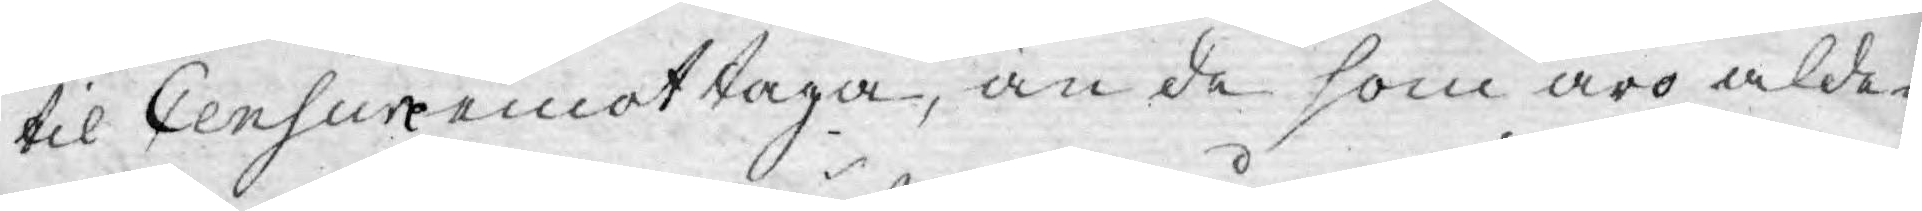til Censure emottaga, än de som äro alde¬
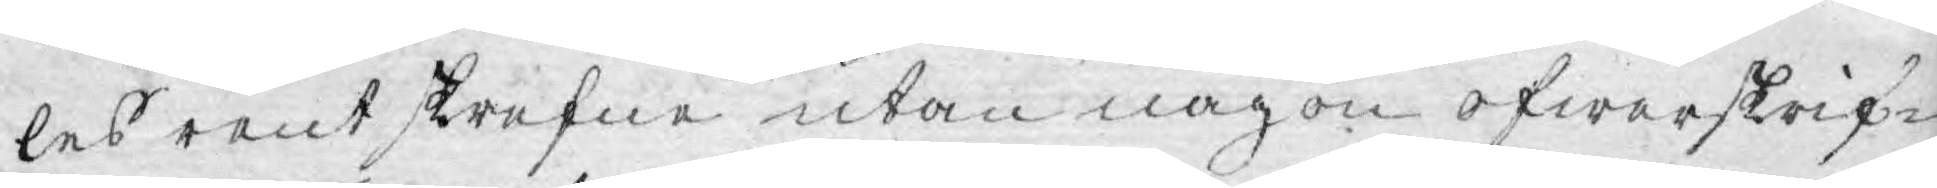les rent skrifne utan någon öfwerskrif¬
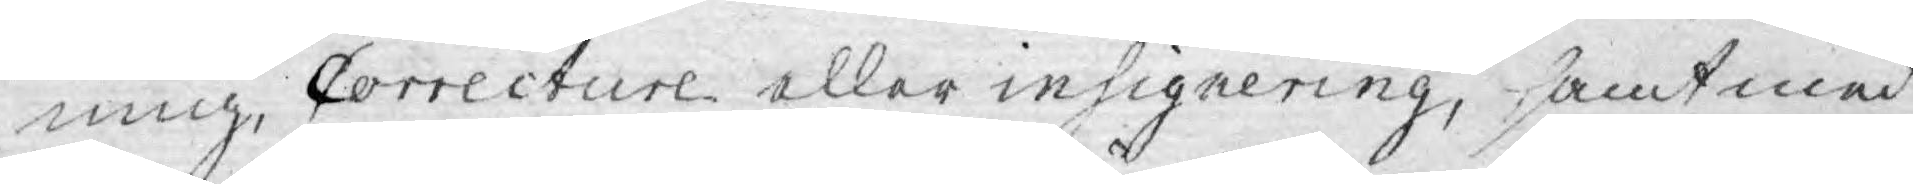ning, Correcture eller insignering, samt med
